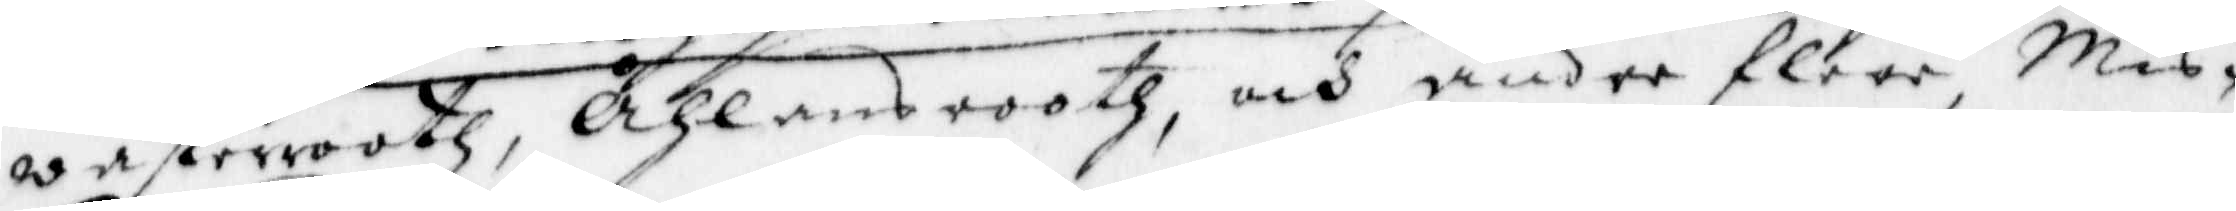wasterrooth, Åhlans rooth, och andre flere Mis¬
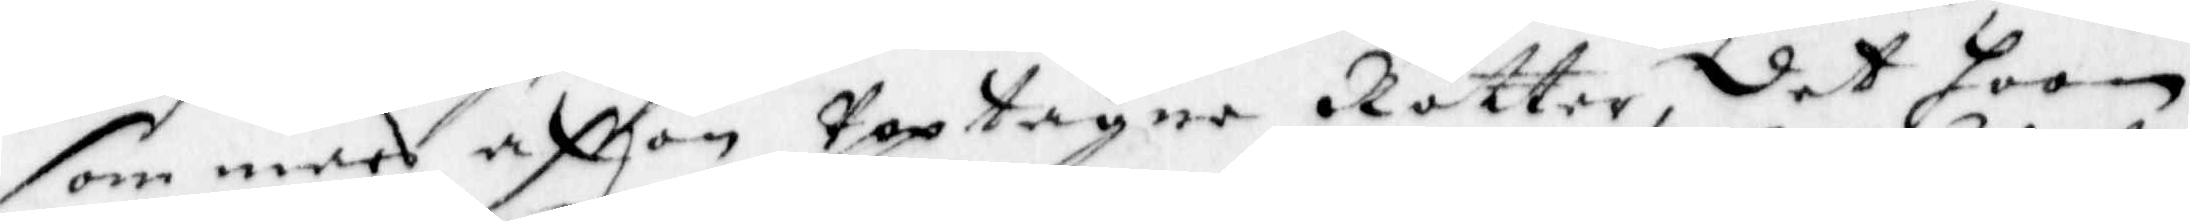som mars afton Upptagen Rötter, det hoon
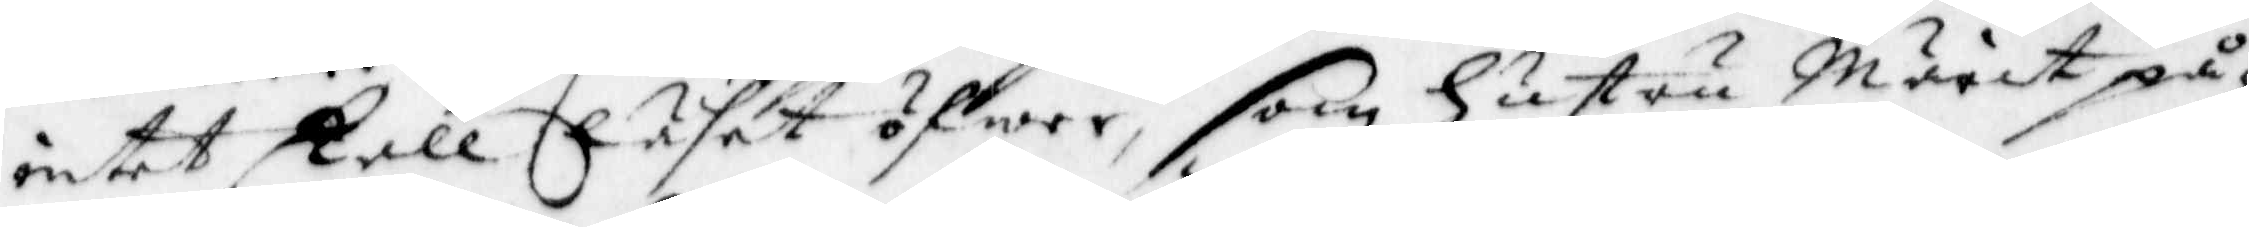intet skall läset öfwer, som Hustru Märit på¬
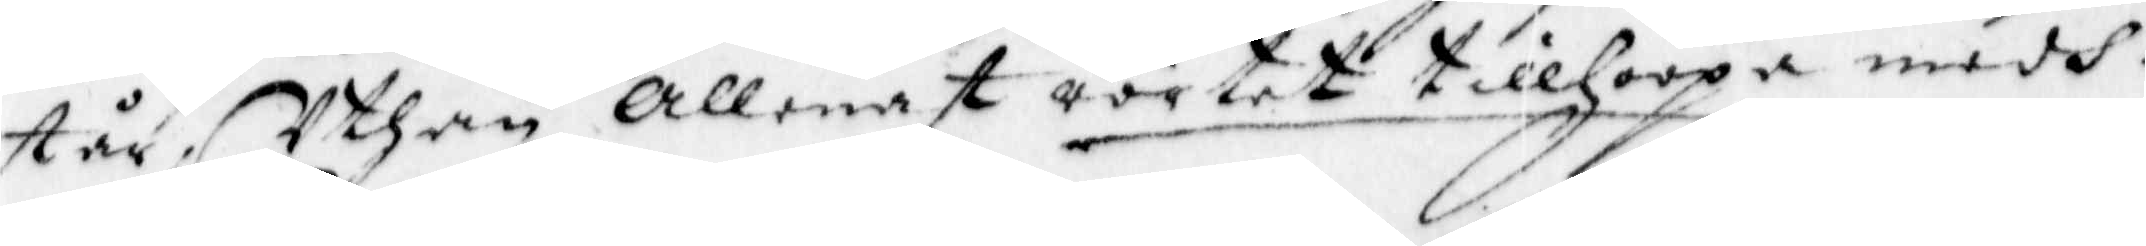står, Uthan Allenast rörtet tillhoopa medh
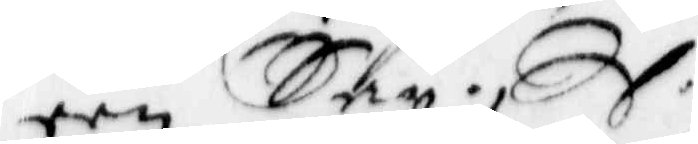een Sax. 
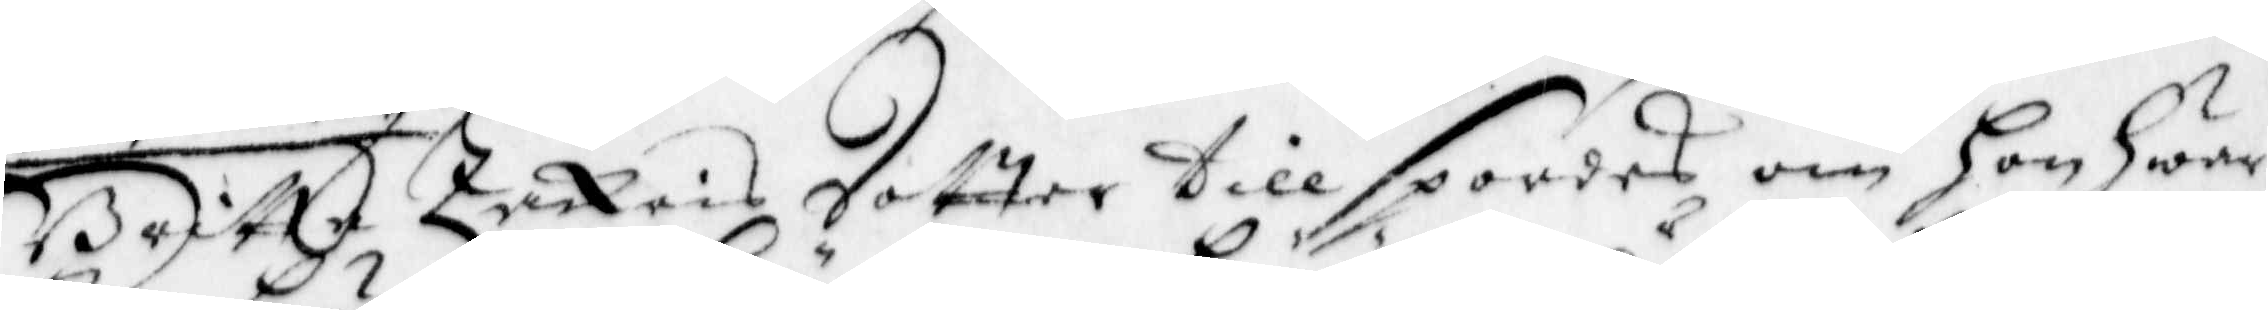Britta Zackris dotter tillspordes om Hon Hwar¬
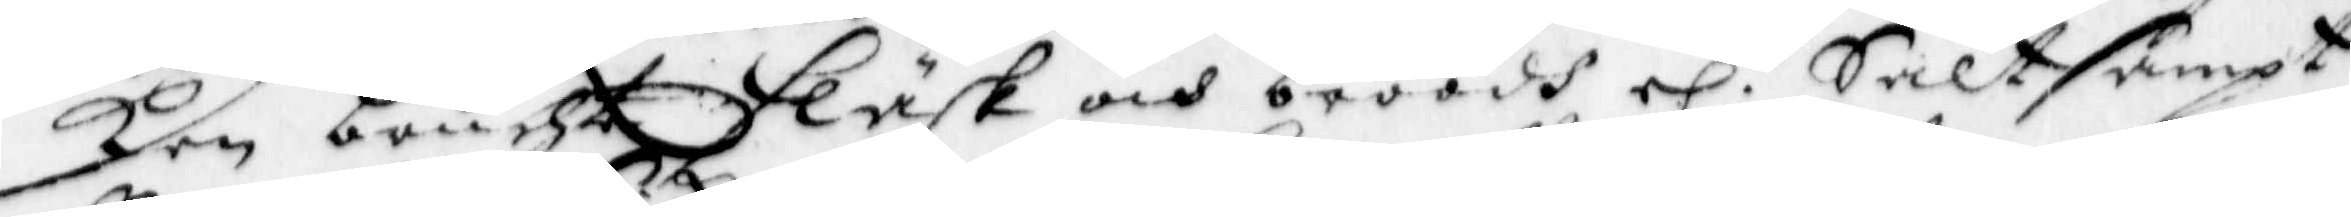ken brucht Fläsk och bröödh el.r Salt sampt
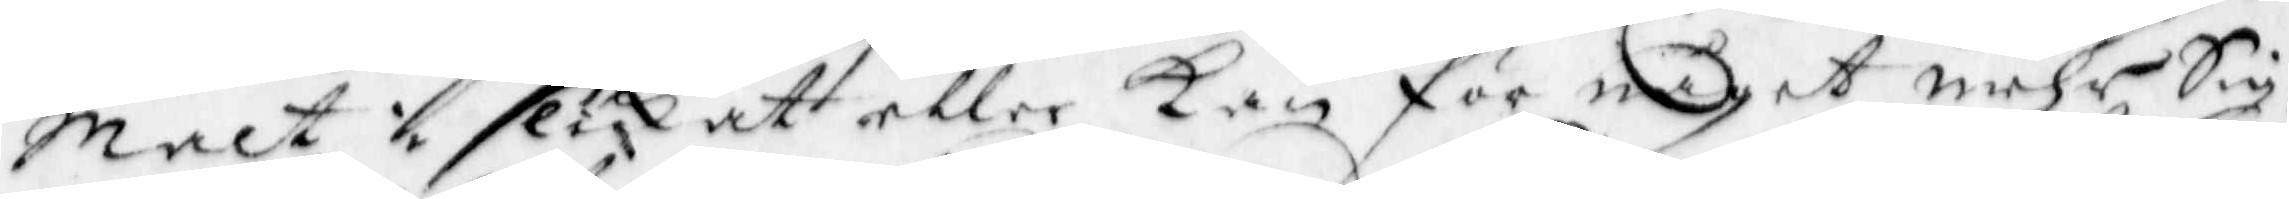Malt i slikat eller kan för något mehr Sig¬
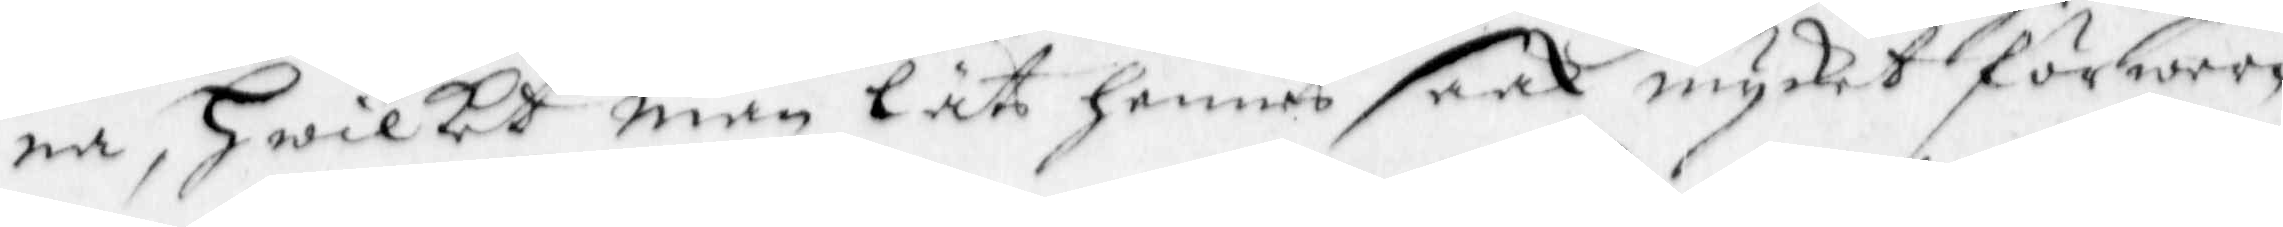na, hwilket man Lät hennes saak mycket förwer¬
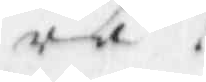ra
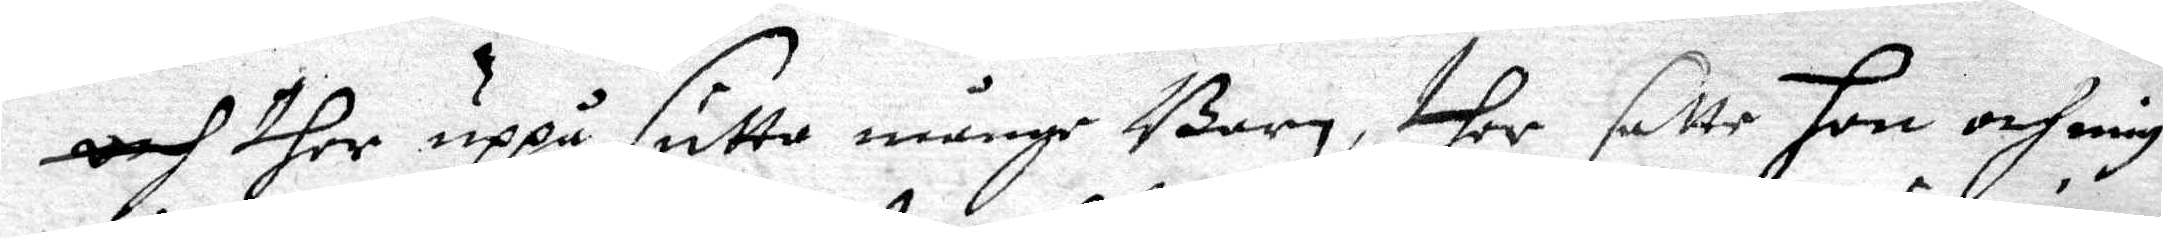och ther uppå sutto månge Barn, ther satte hon och mig
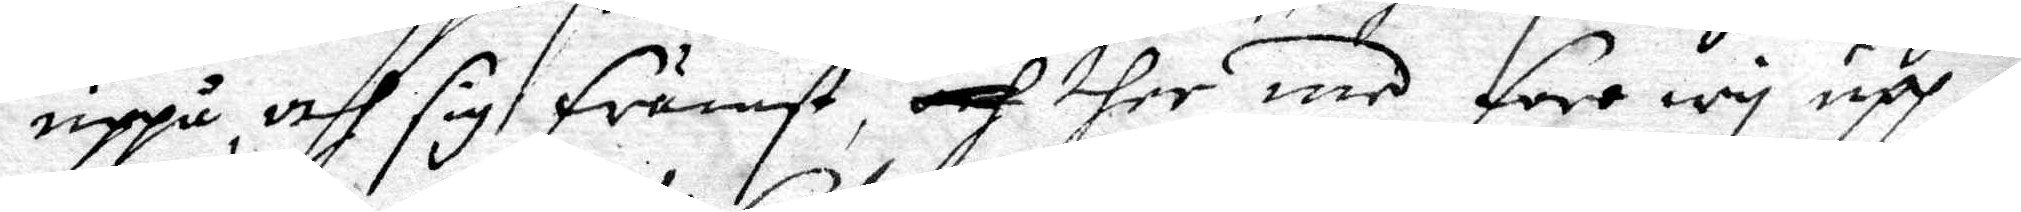uppå, och sig främst, och ther med foro wy upp i
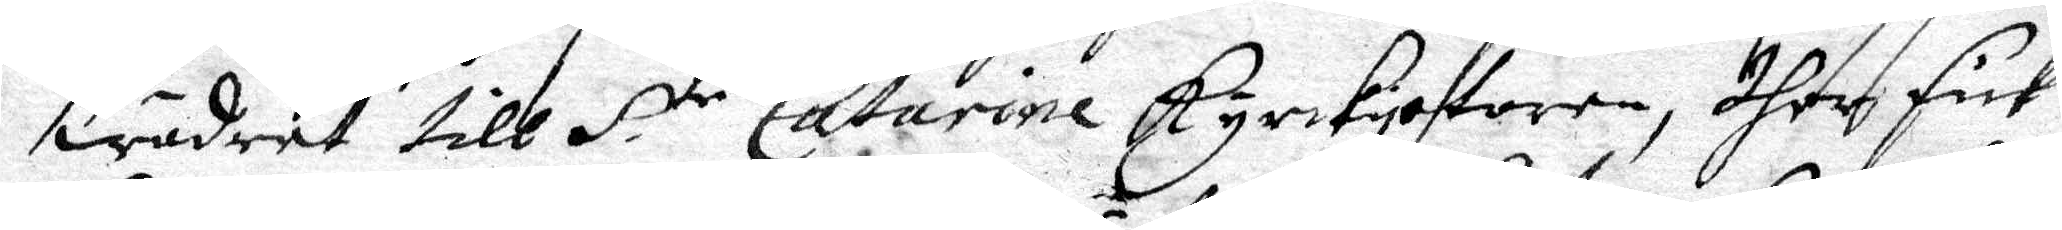wädret till S.te Catarine Kyrckiotoren, dher fick 
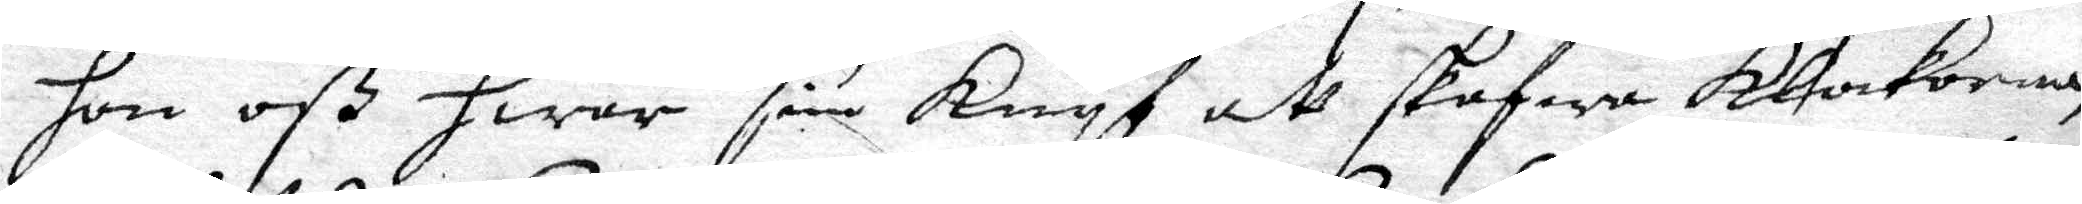hon oß hwar sin Knyf att skafwa klockorna
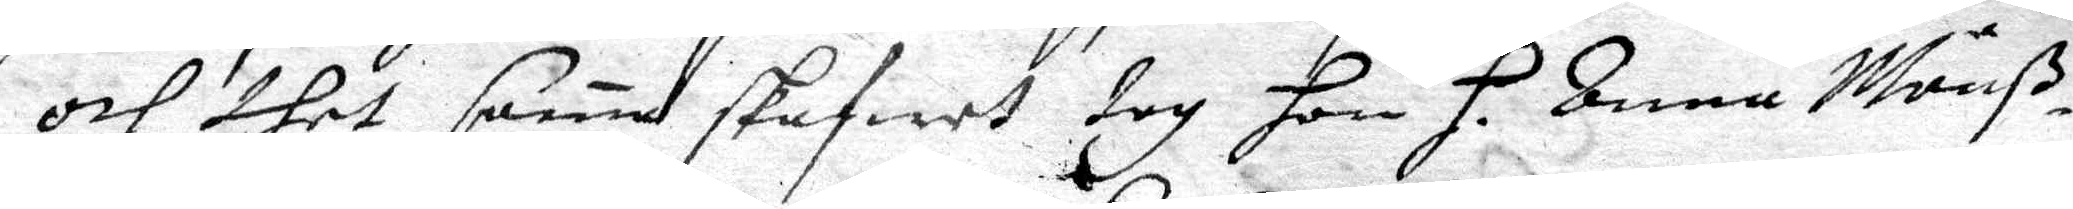och thet sama skafwet tog hon H. Anna Månß¬ 
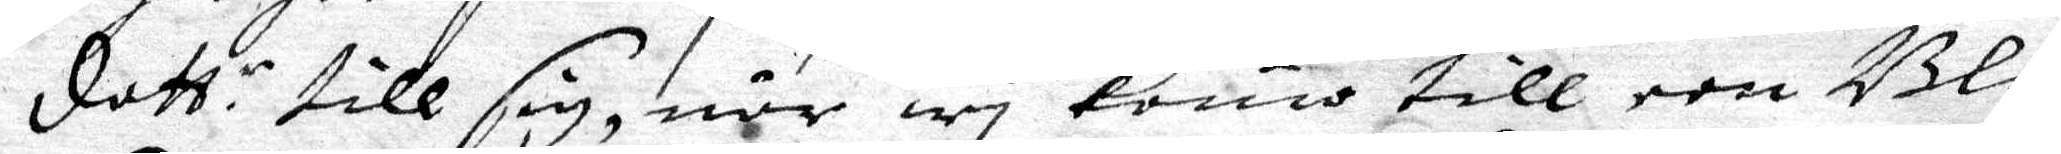dott.r till sig, när wy komo till een Blå 
